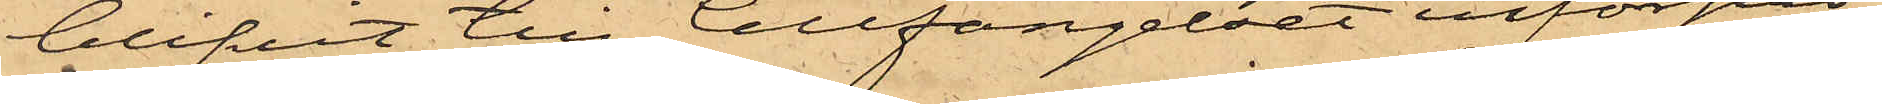blifvit till Cellfängelset införpas¬
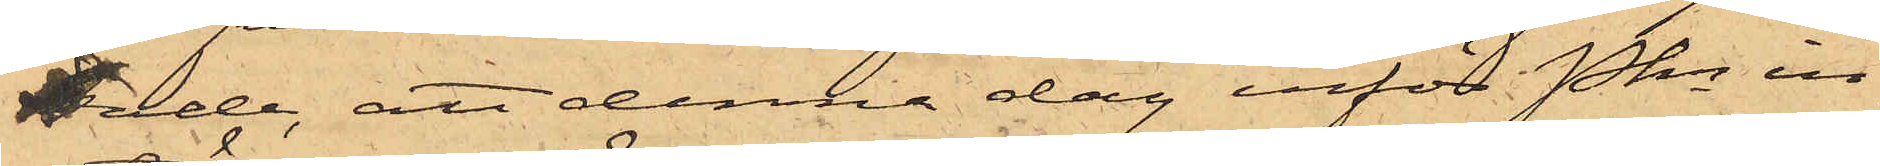sade, att denna dag inför Pkn in¬
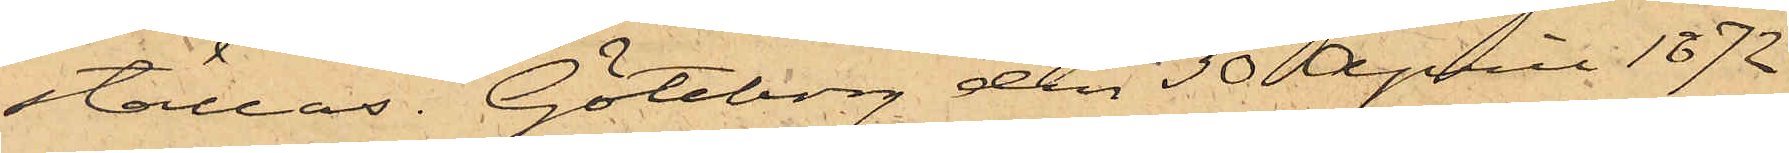ställas. Göteborg den 30 April 1872
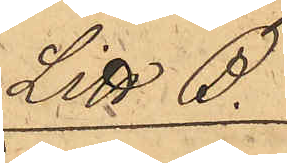Litt B.
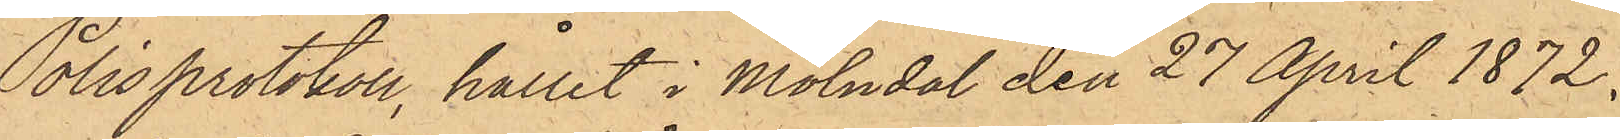"Polisprotokoll, hållit i Mölndal den 27 April 1872.
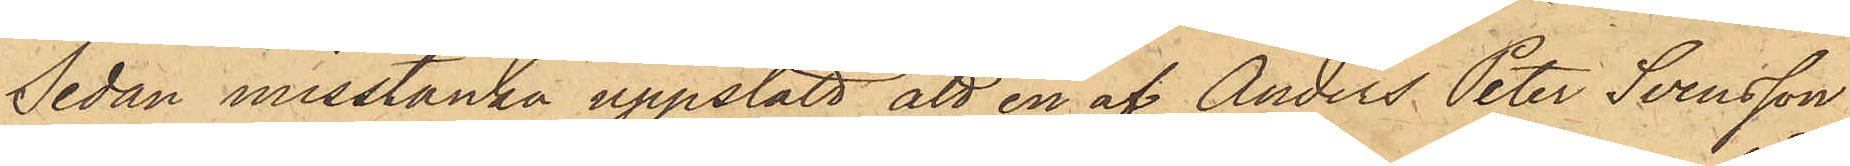Sedan misstanke uppstått att en af Anders Peter Svensson
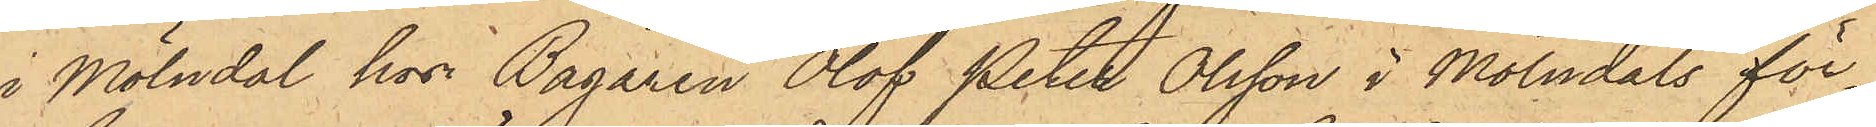i Mölndal hos Bagaren Olof Peter Olsson i Mölndals för¬
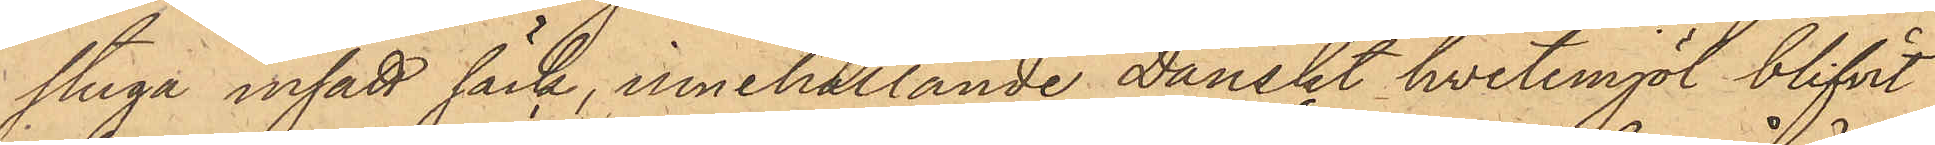stuga insatt säck, innehållande Danskt hvetemjöl blifvit
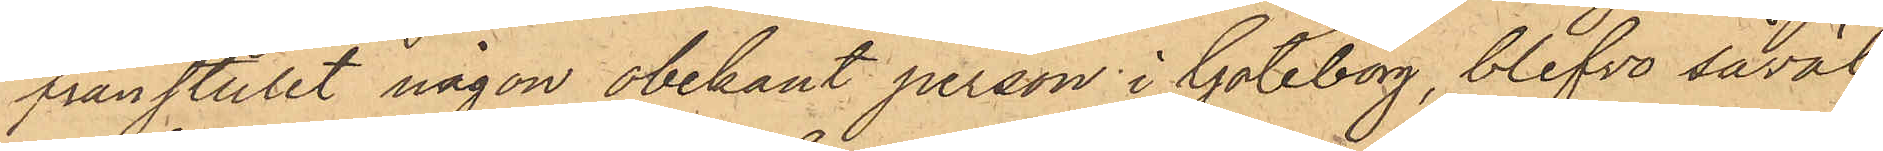frånstulit någon obekant person i Göteborg, blefvo såväl
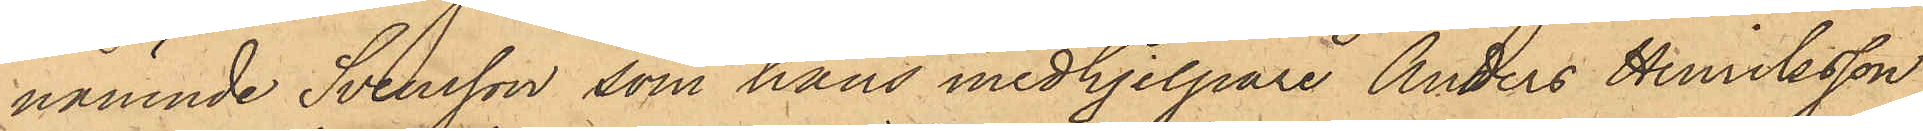nämnde Svensson som hans medhjelpare Anders Henriksson
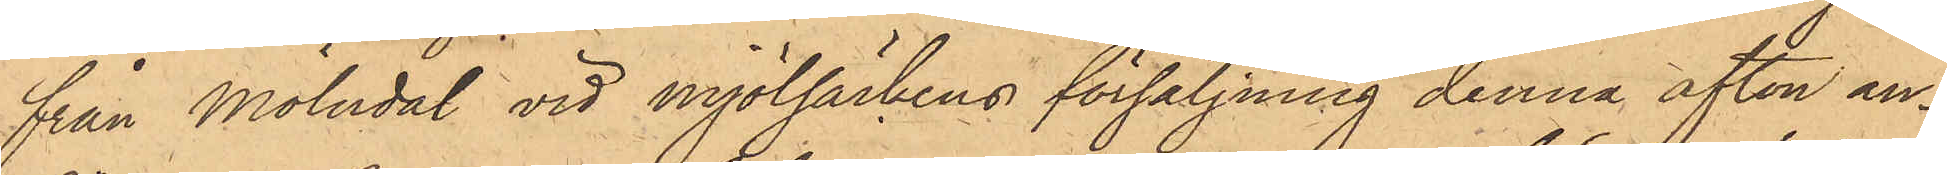från Mölndal vid mjölsäckens försäljning denna afton an¬
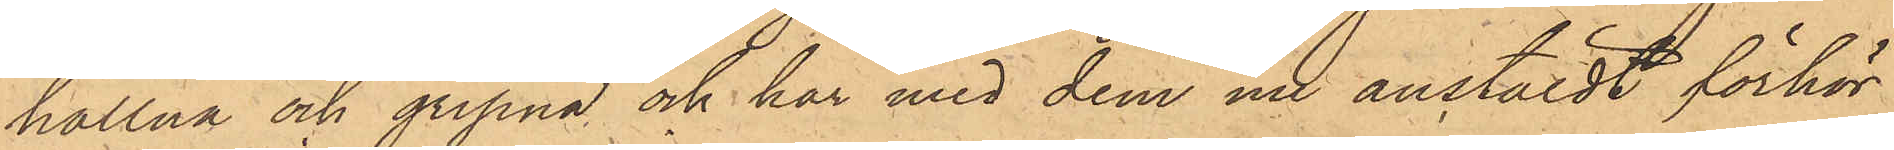hållna och gripna och har med dem nu anstäldt förhör
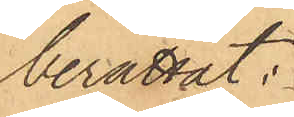berättat:
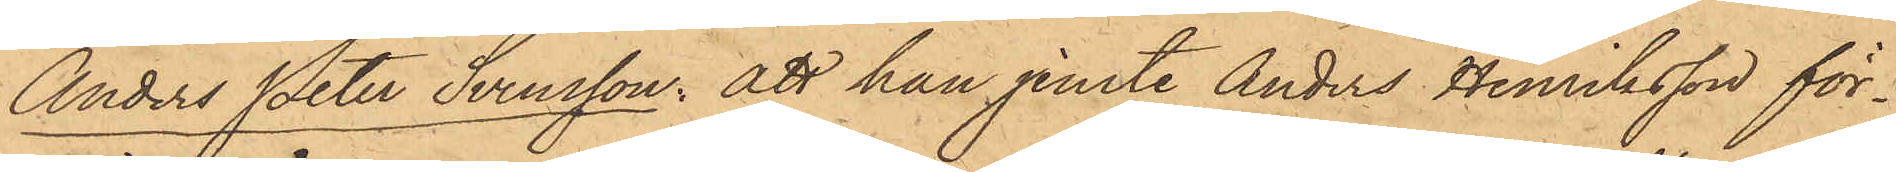Anders Peter Svensson: att han jemte Anders Henriksson för¬
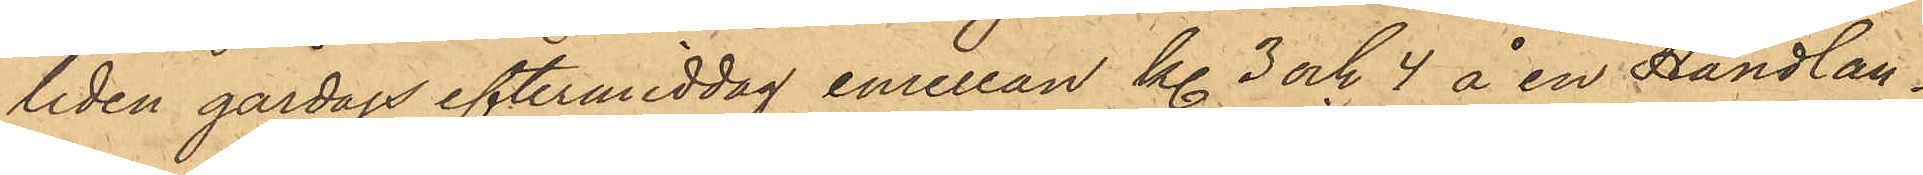liden gårdags eftermiddag emellan kl. 3 och 4 å en Handlan¬
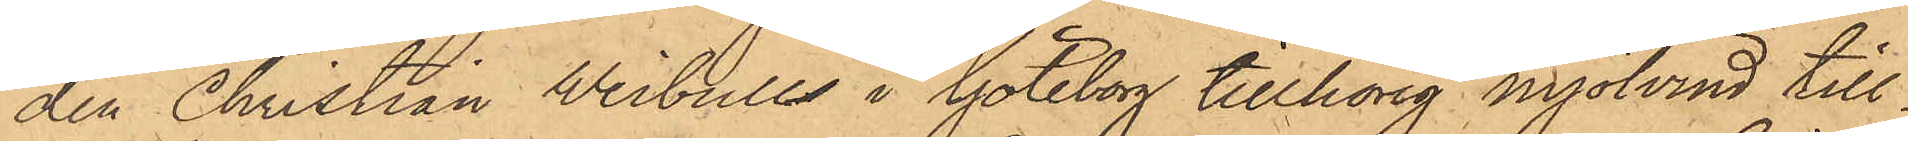den Christian Weibull i Göteborg tillhörig mjölvind till¬
